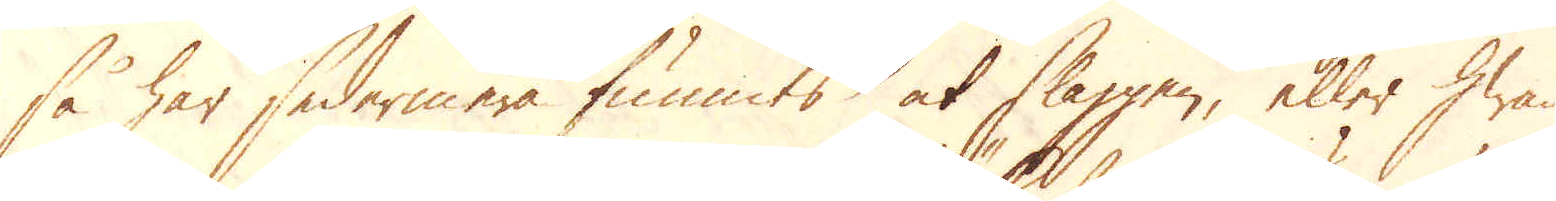så har sedermera funnits at slaggen, eller hwad
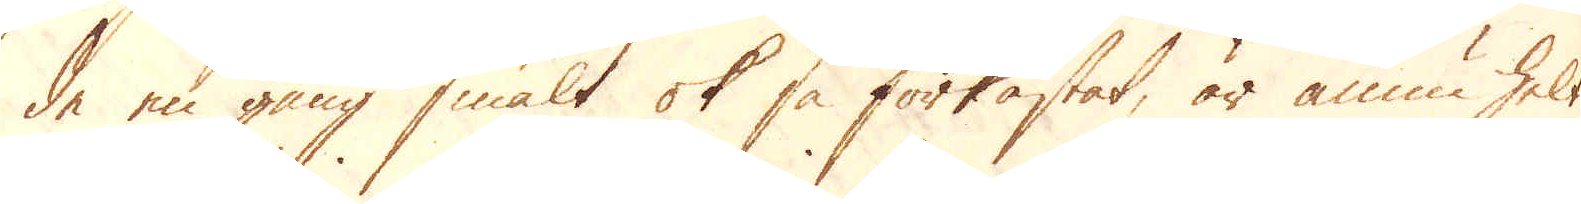de en gång smält ok så förkastat, är ännu helt
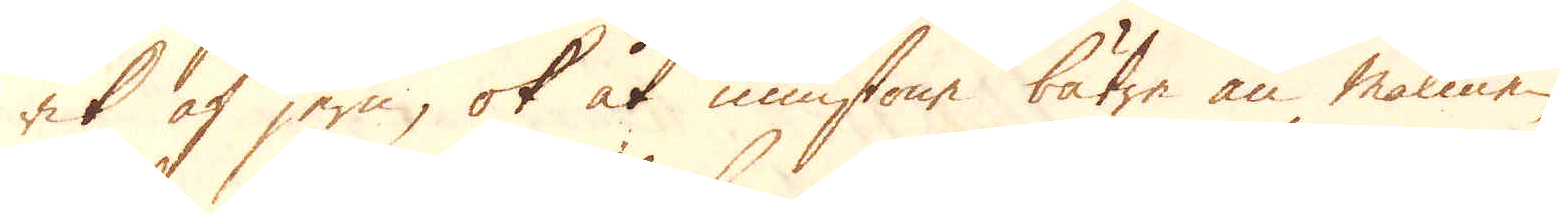rik af jern, ok åt minstone bätre än malmen,
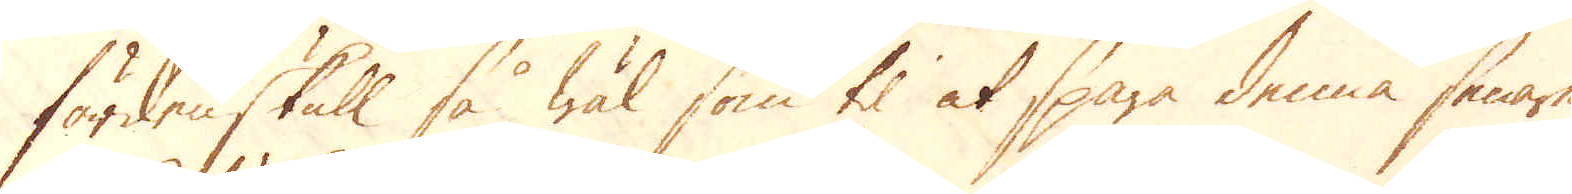fördenskull så wäl som til at spara denna senare
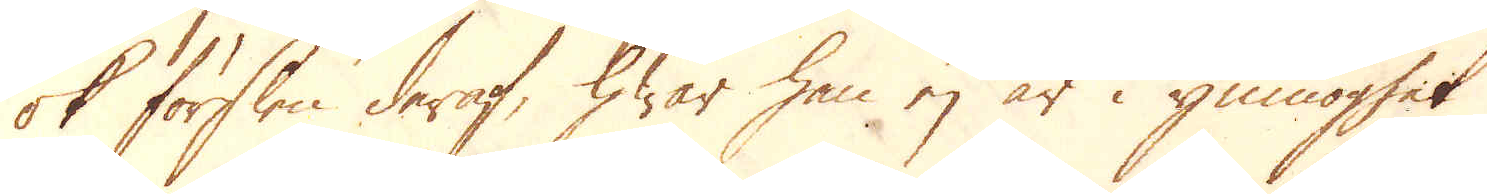ok förslen deraf, hwar han ej är i ymnoghet
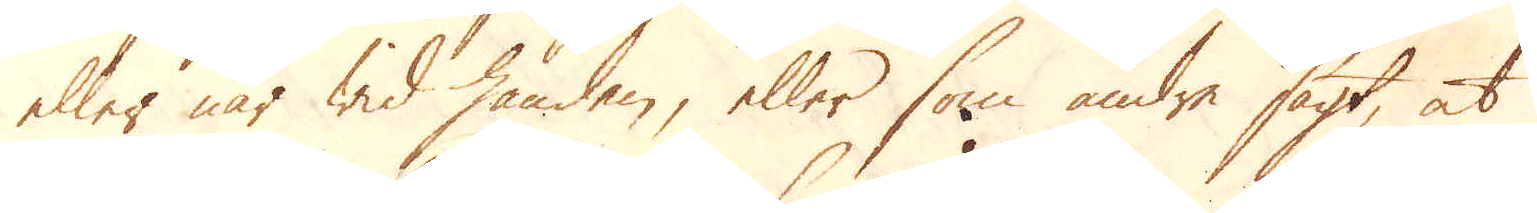eller när wid handen, eller som andra sagt, at
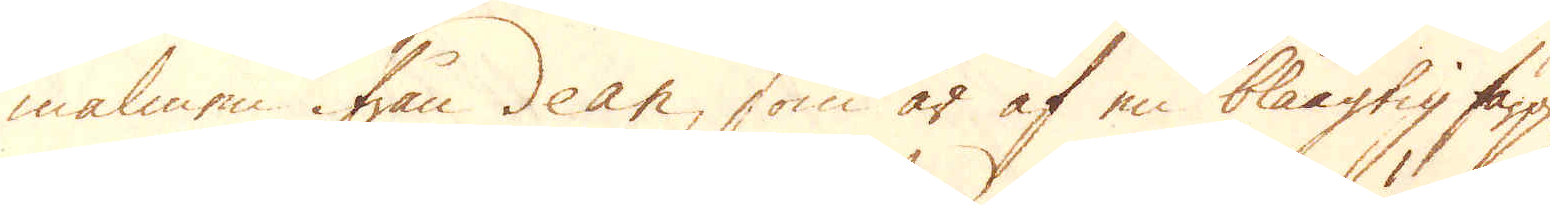malmen ifrån dean, som är af en blåagtig färg,
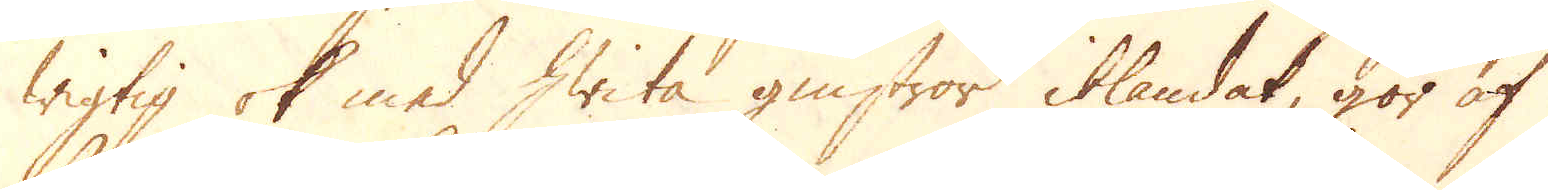wigtig ok med hwita gnistror iblandat, gör af
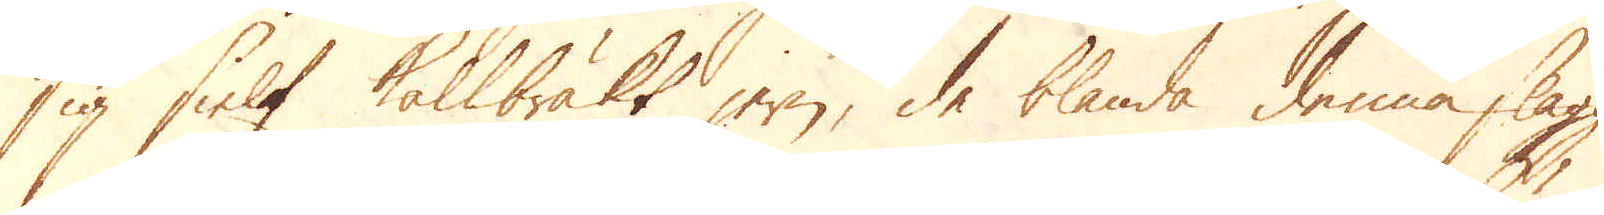sig sielf Kallbräkt jern, de blanda denna slagg
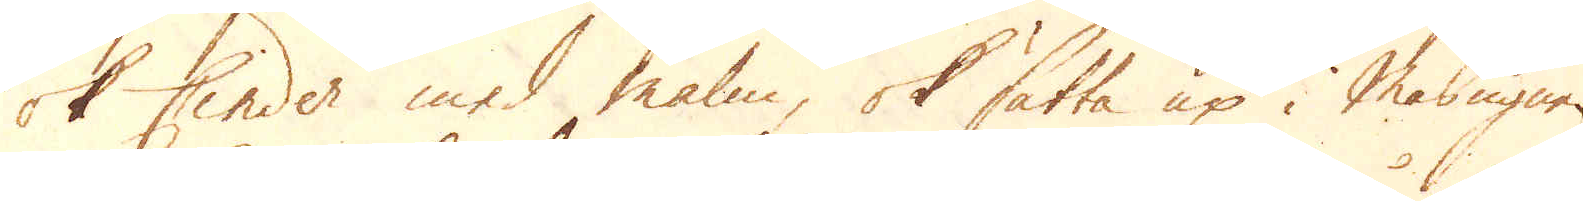ok Cinder med malm, ok sätta up i Masugnen.
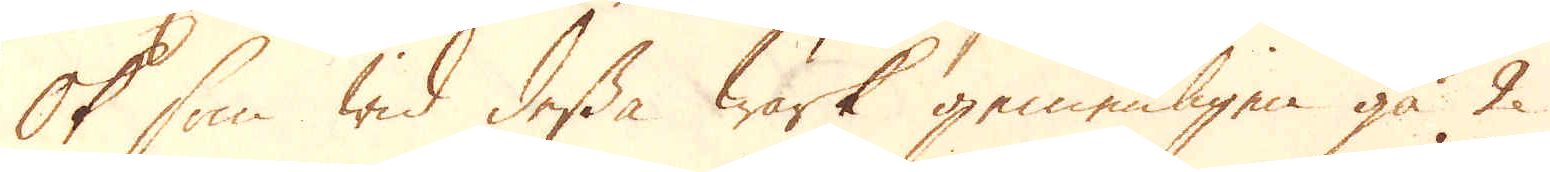Ok som wid dessa Wärk gemenligen gå 2
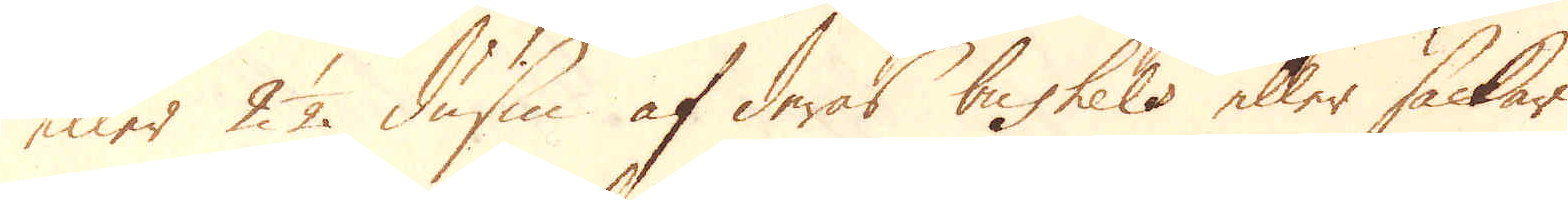eller 2 1/2 dussin af deras bushels eller säckar
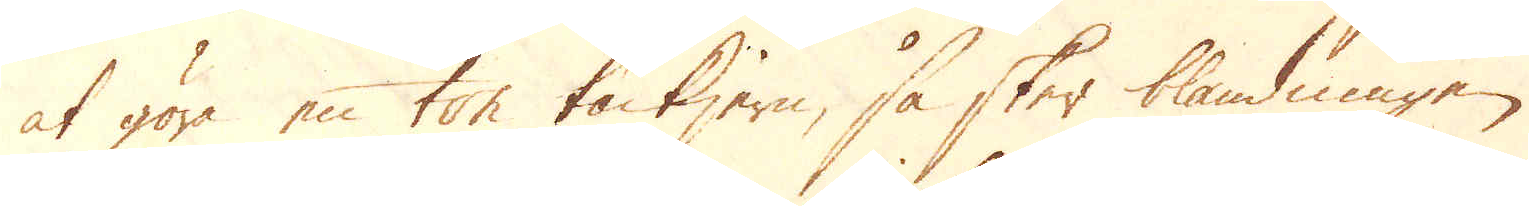at göra en ton tackjern, så sker blandningen
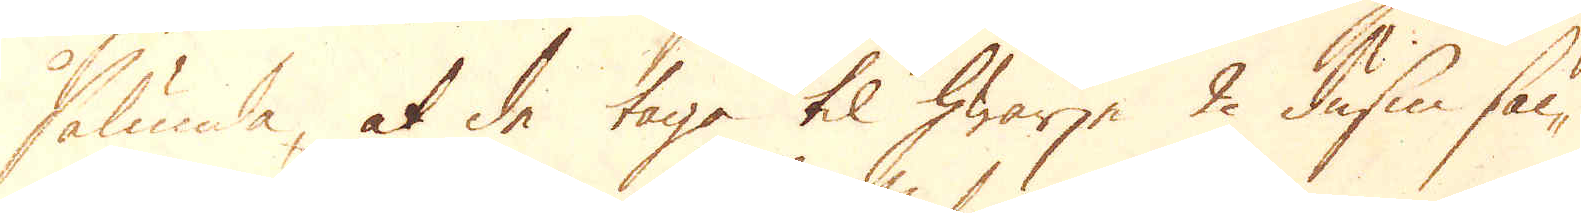sålunda, at de taga til hwarje 2 dussin säc-
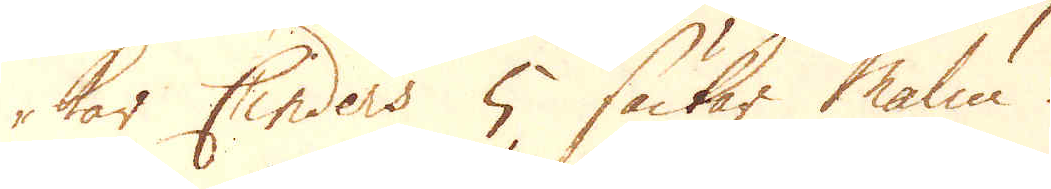kar Cinders 5 säckar Malm.
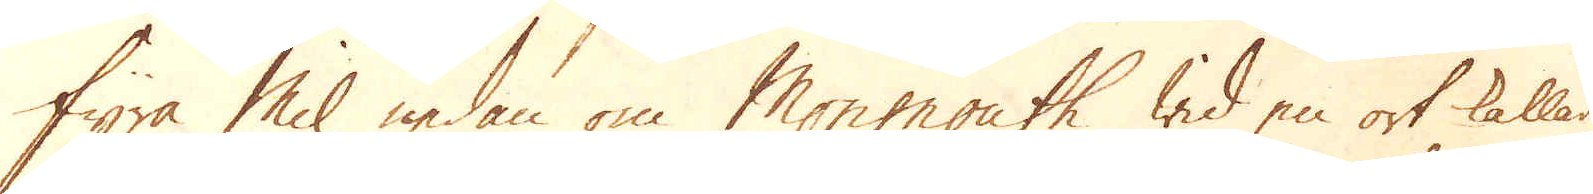Fyra Mil nedan om Monmouth wid en ort kallad
